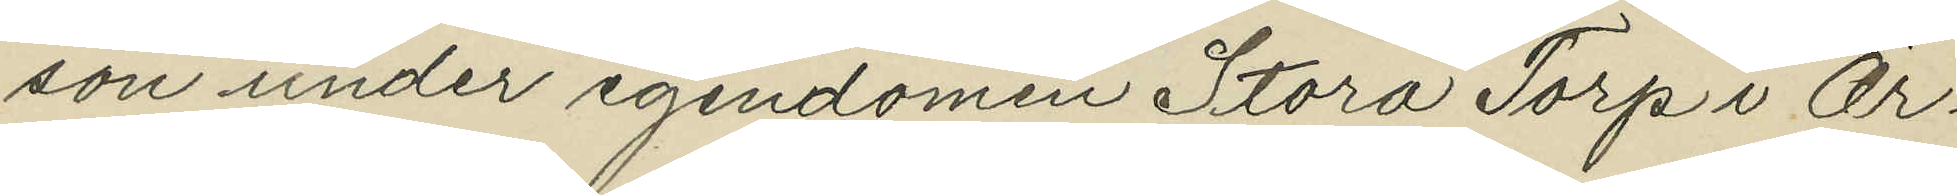son under egendomen Stora Torp i Ör¬
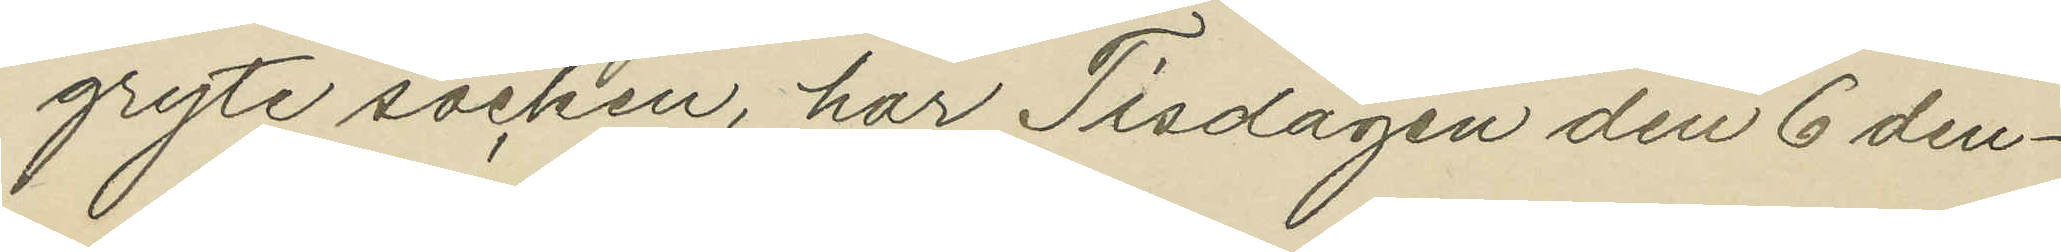gryte socken, har Tisdagen den 6 den¬
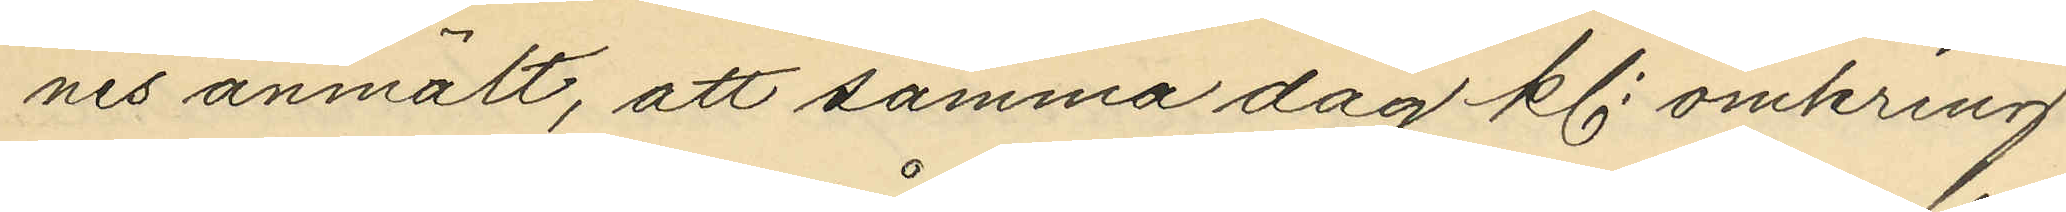nes anmält, att samma dag kl. omkring
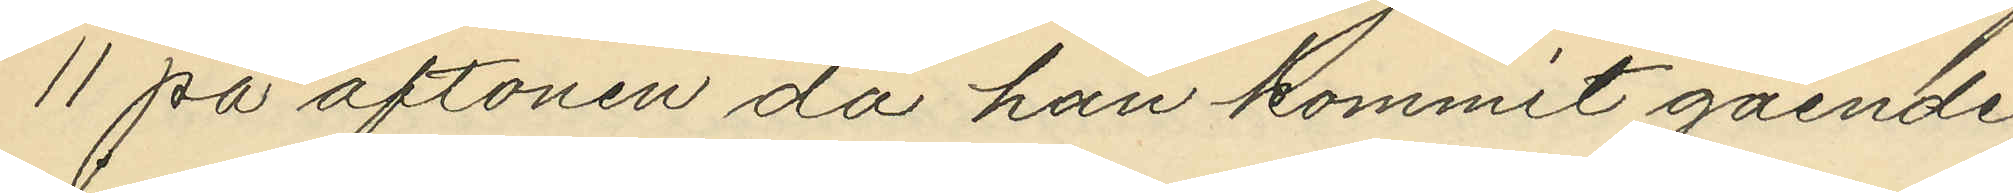11 på aftonen då han kommit gående
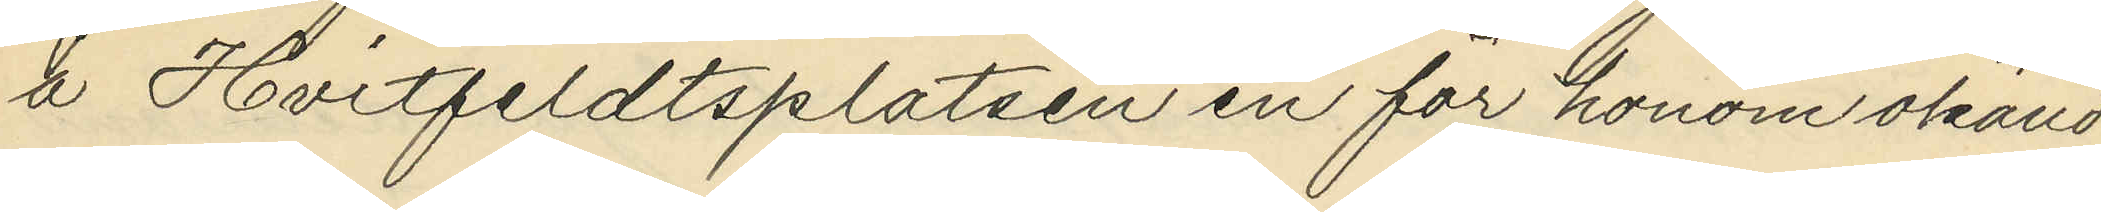å Hvitfeldtsplatsen en för honom okänd
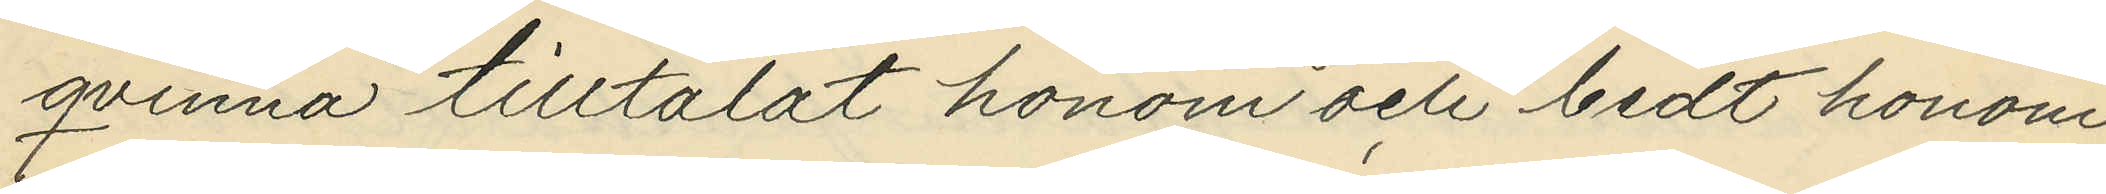qvinna tilltalat honom och bedt honom
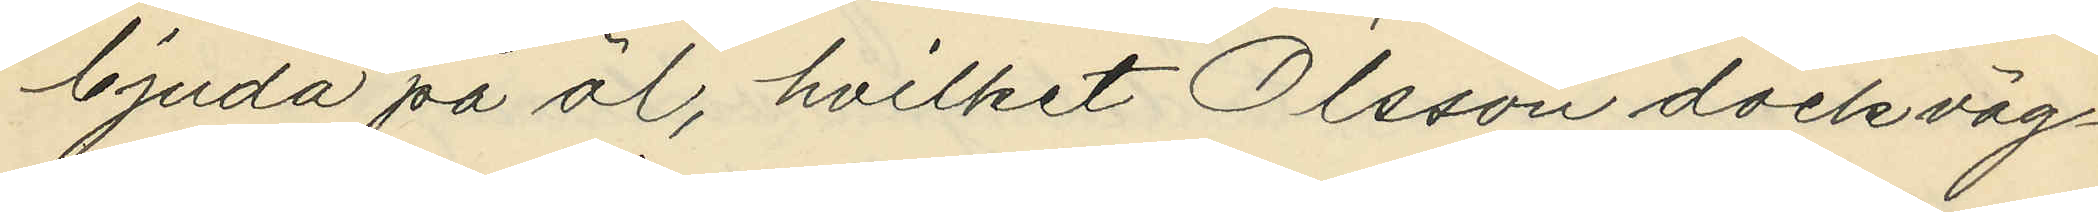bjuda på öl, hvilket Olsson dock väg¬
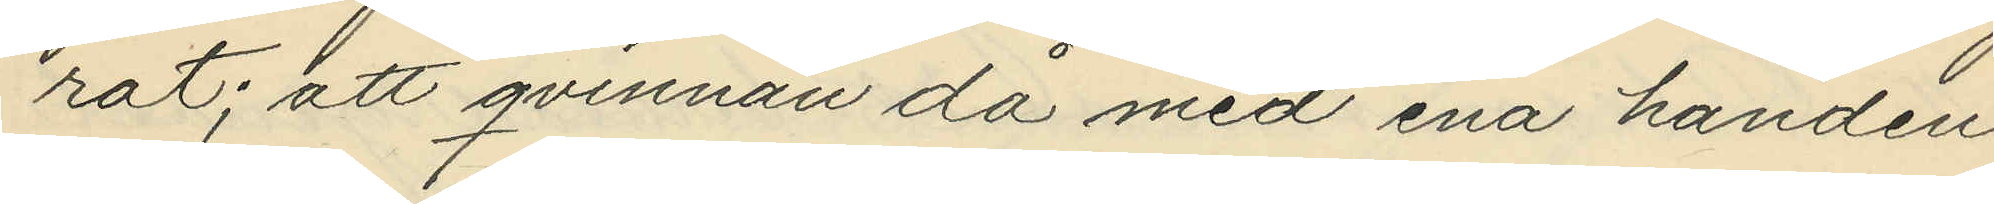rat; att qvinnan då med ena handen
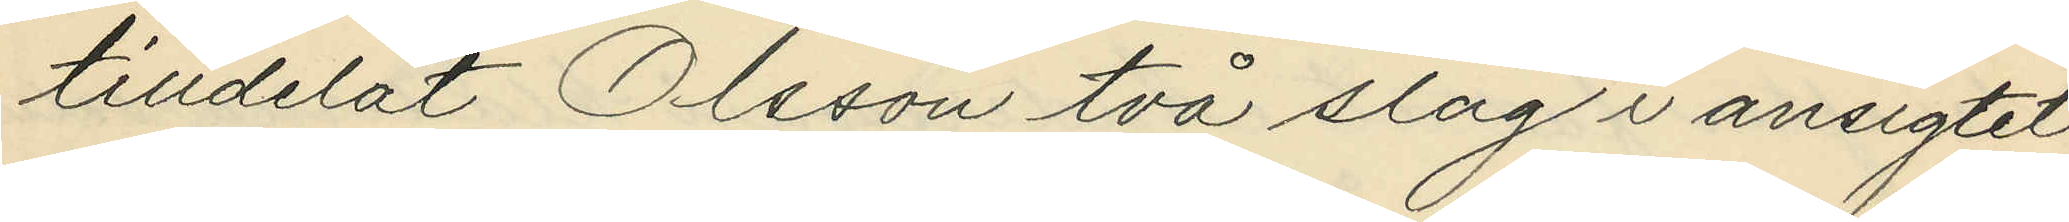tilldelat Olsson två slag i ansigtet
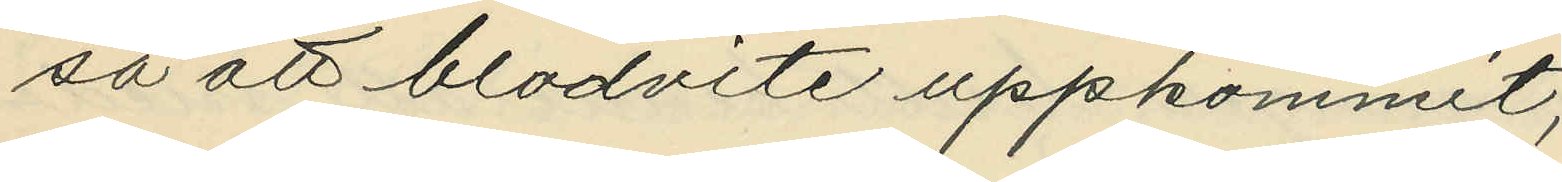så att blodvite uppkommit;
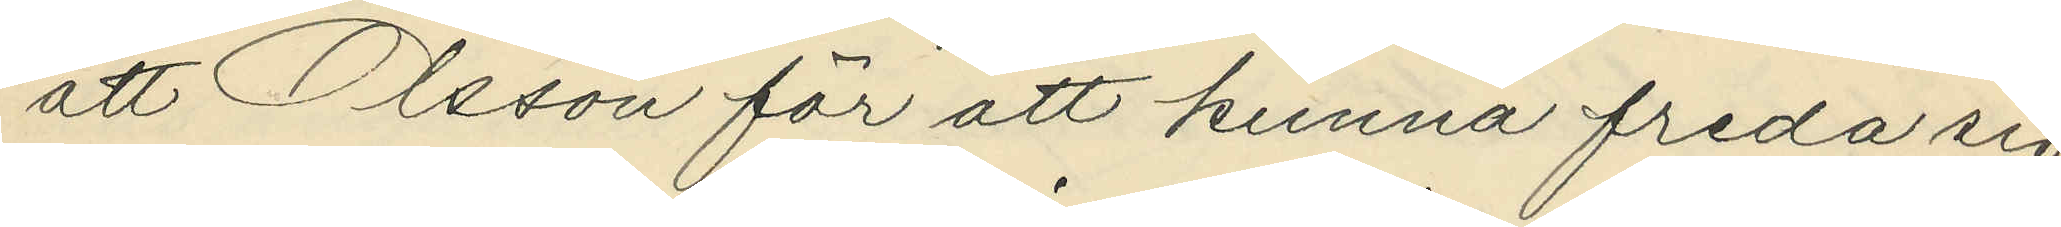att Olsson för att kunna freda sig
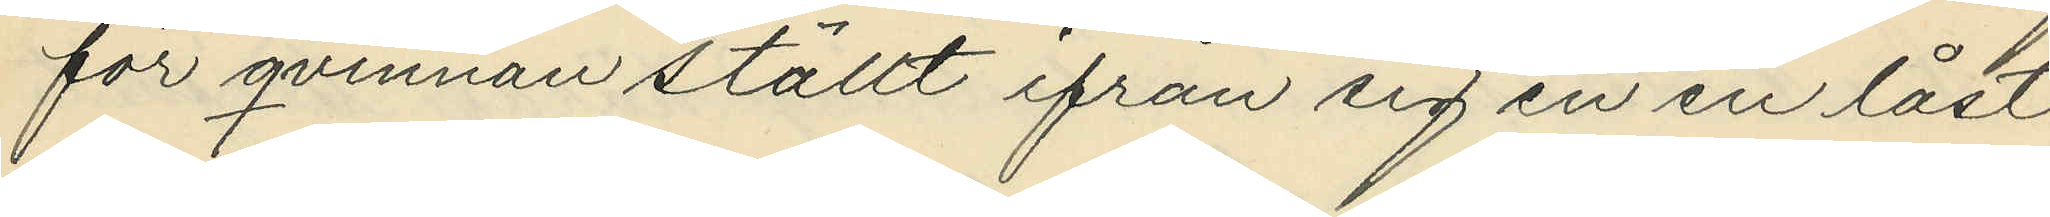för qvinnan ställt ifrån sig en en låst
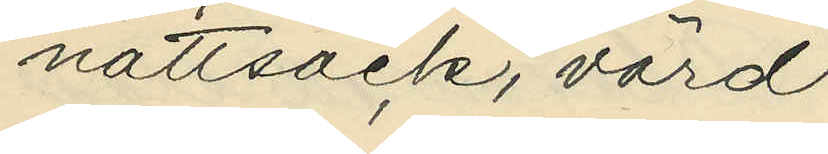nattsäck, värd
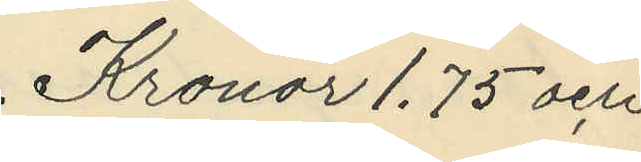Kronor 1.75 och
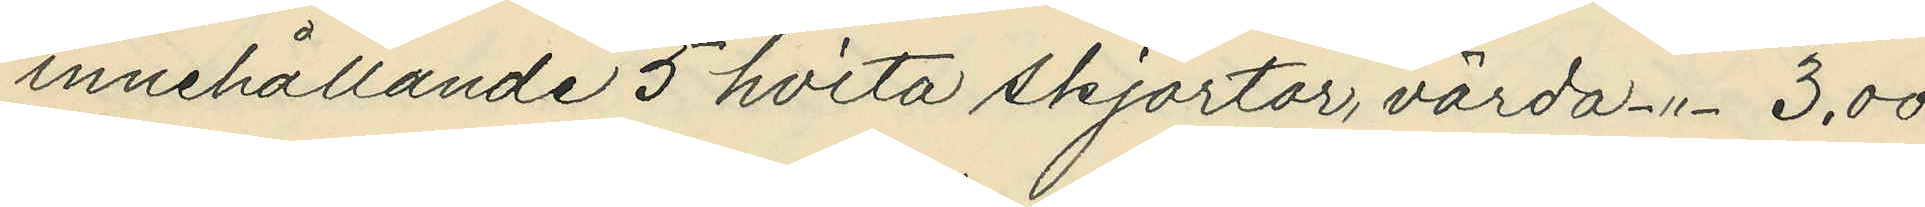innehållande 5 hvita skjortor, värda -"- 3,00
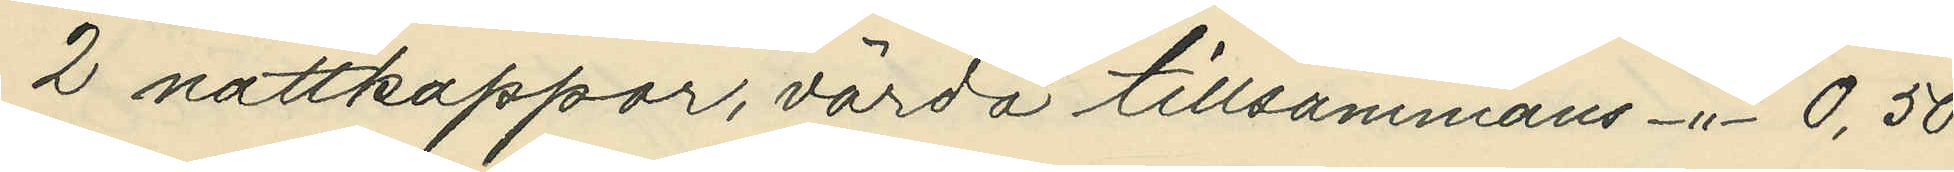2 nattkappor, värda tillsammans -"- 0,50
